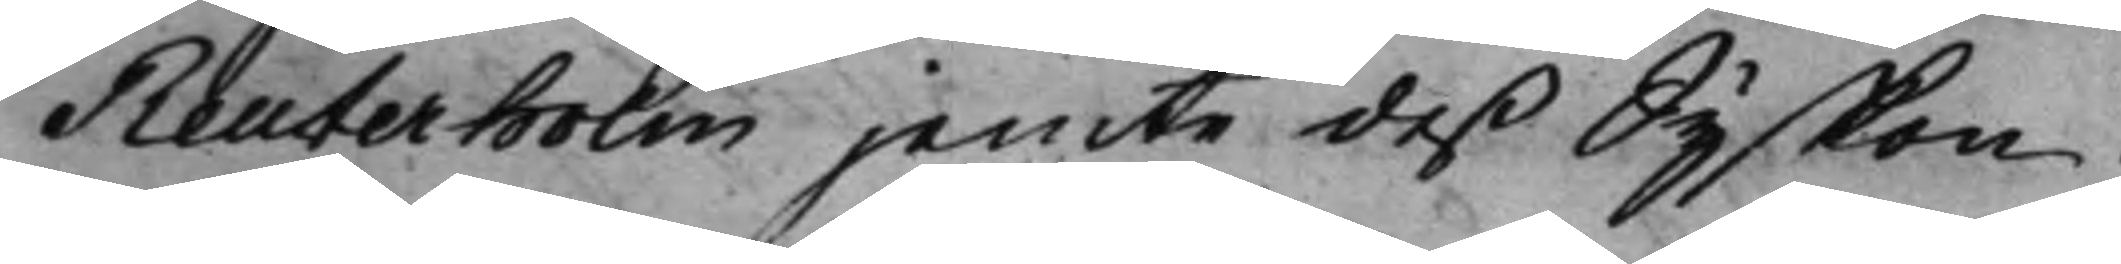Reuterholm jemte deß Syskon.
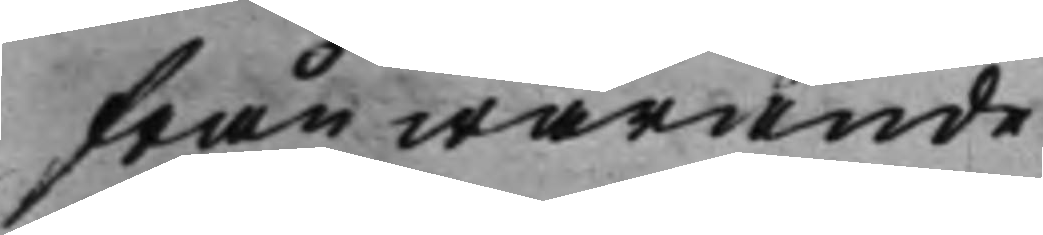frånwarande.
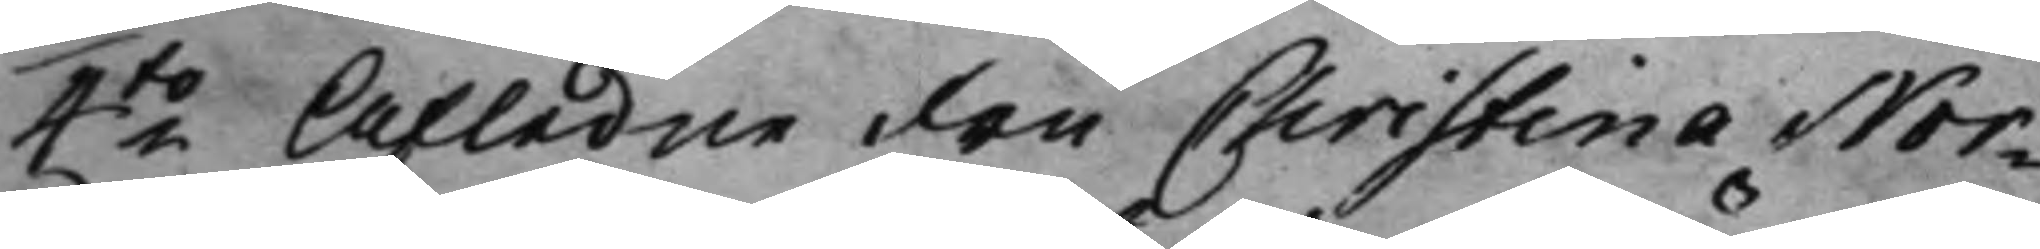4to Afledne Fru Christina Nor¬ 
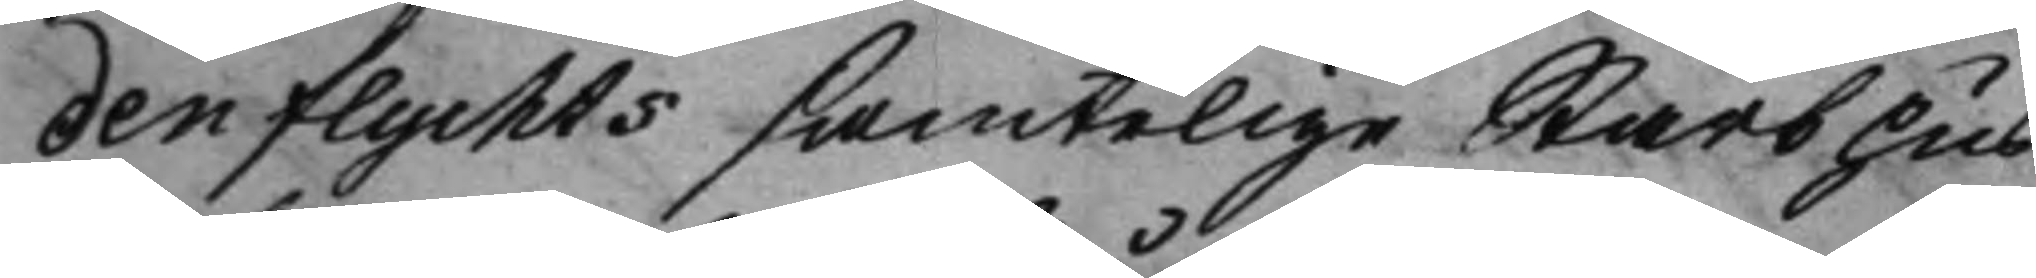denflychts samtelige Stärbhus
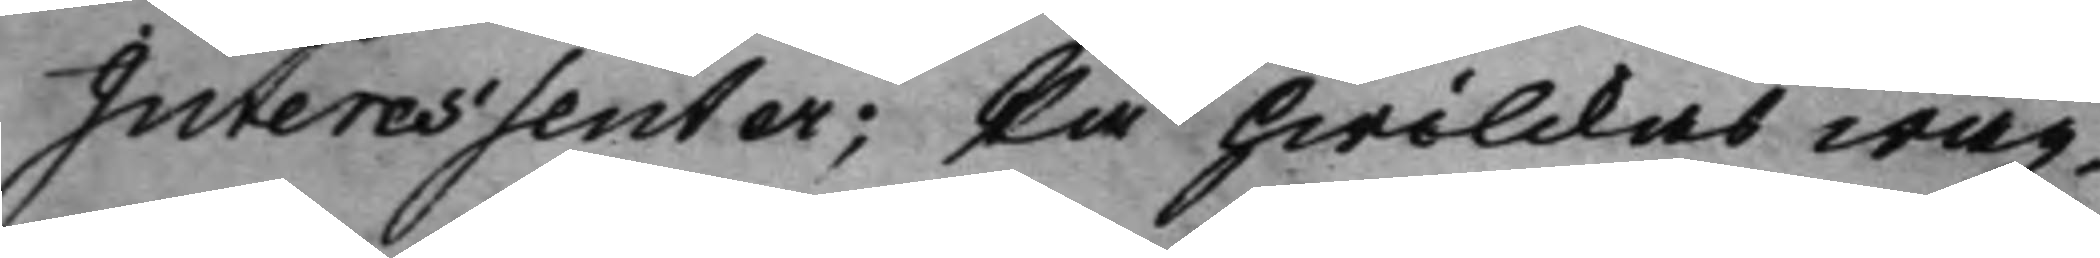Interessenter; På hwilckas wäg¬
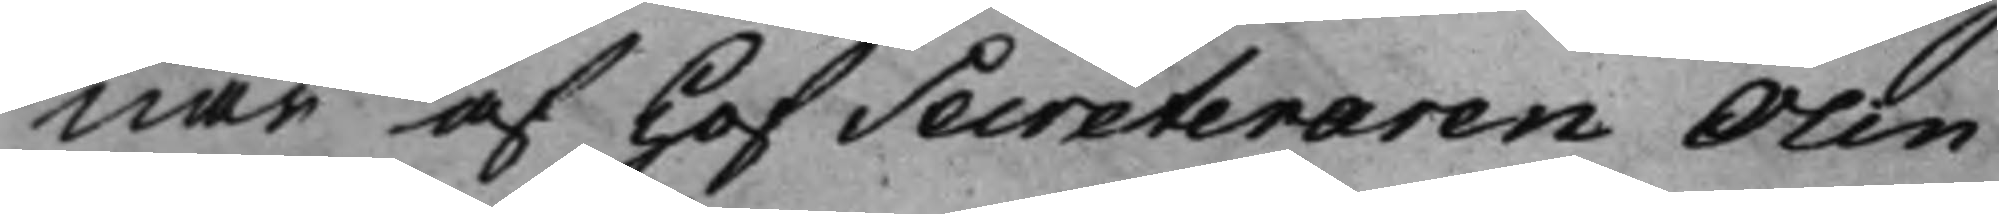nar af HofSecreteraren Olin
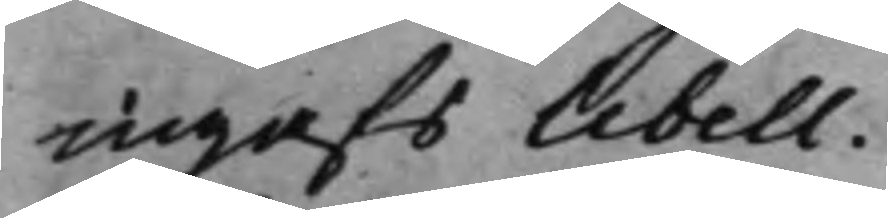ingafs libell.
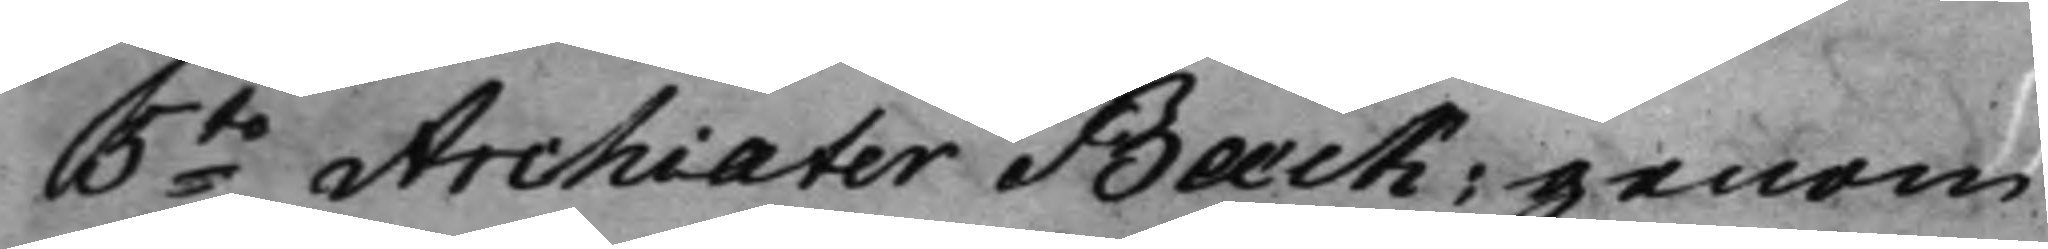5to Archiater Bæck; genom 
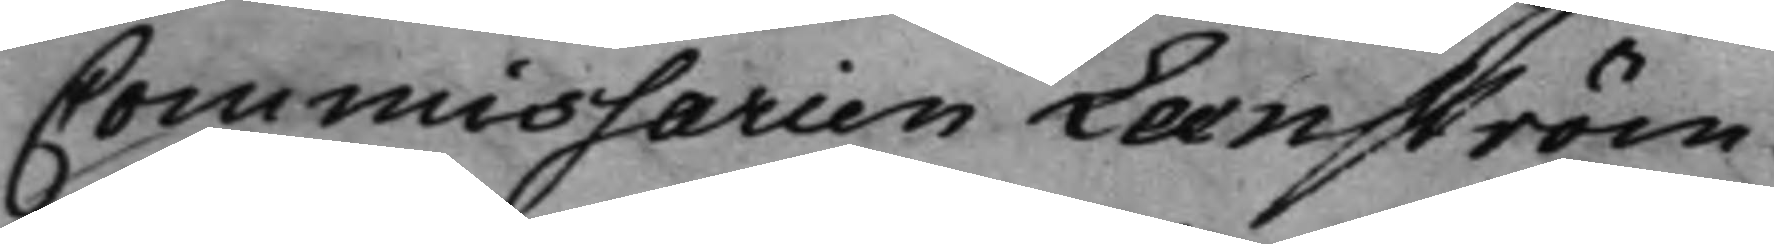Commissarien Leenström.
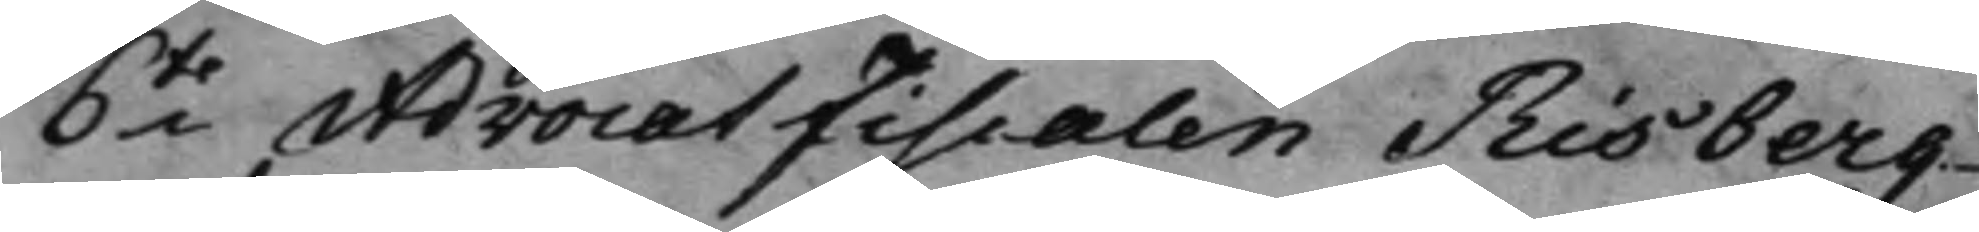6to AdvocatFiscalen Risberg 
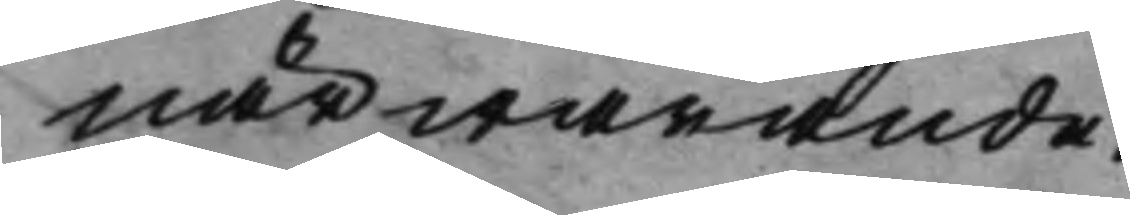närwarande.
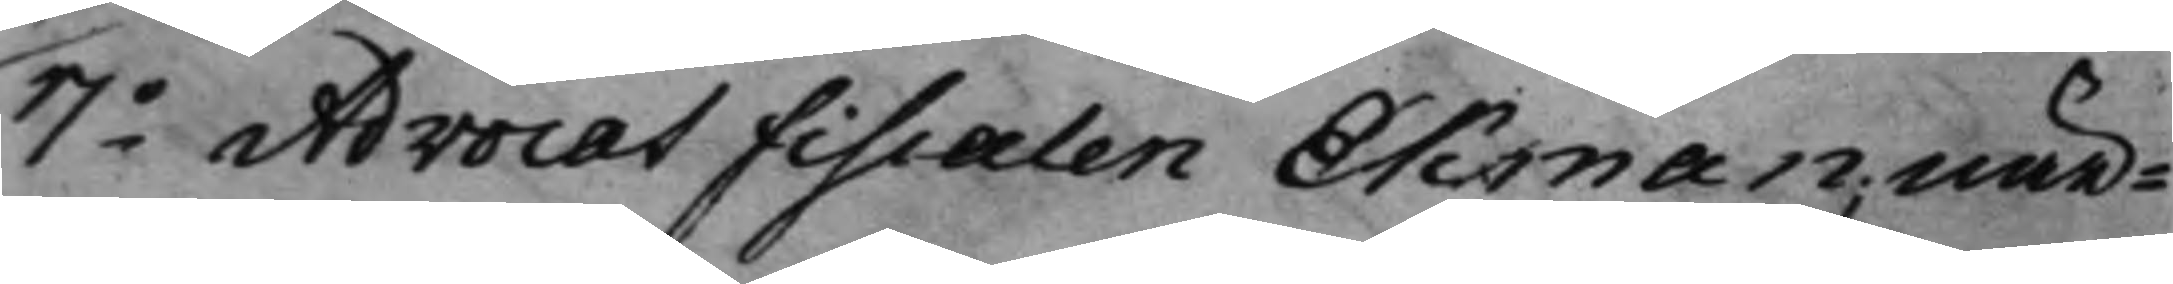7o AdvocatFiscalen Ekman; när¬ 
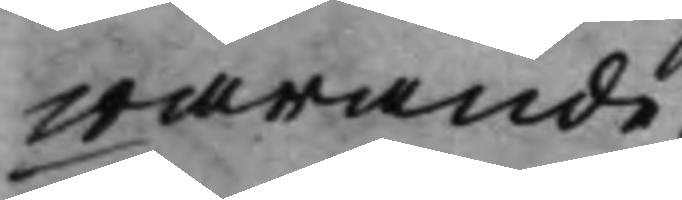warande.
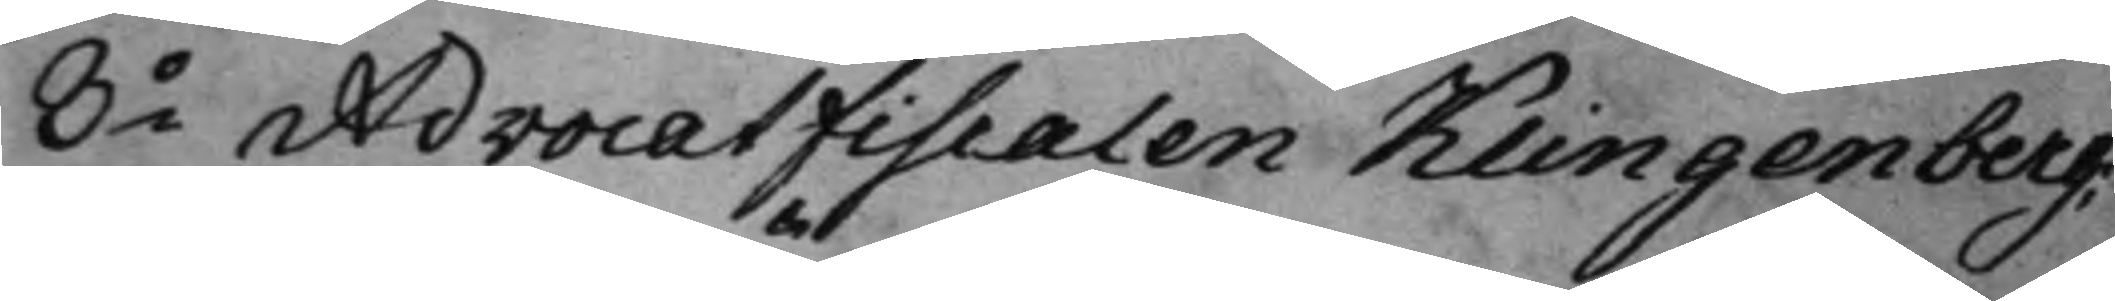8o AdvocatFiscalen Klingenberg; 
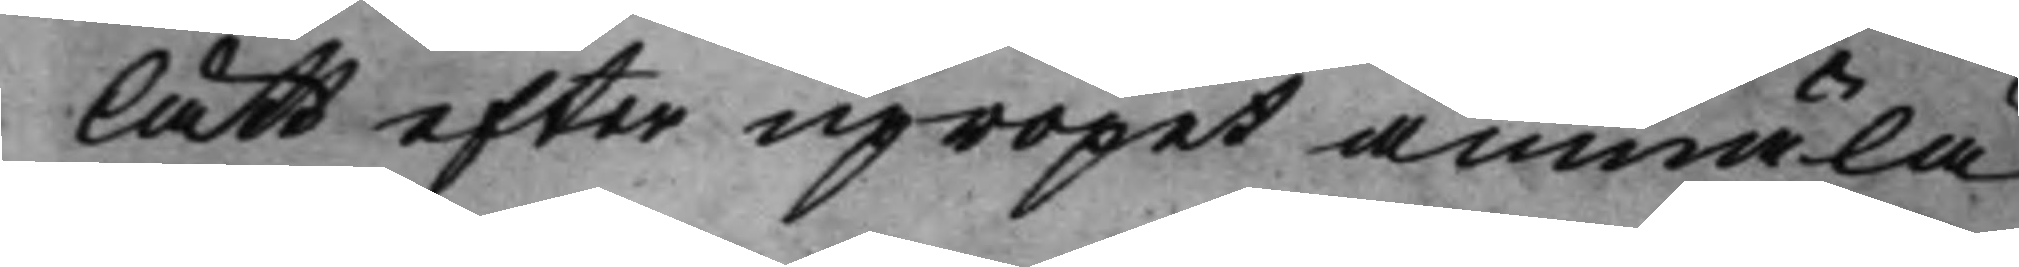lätt efter upropet anmäla
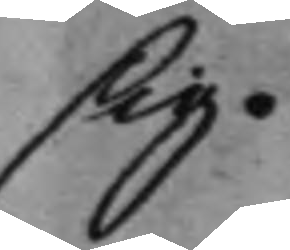sig.
